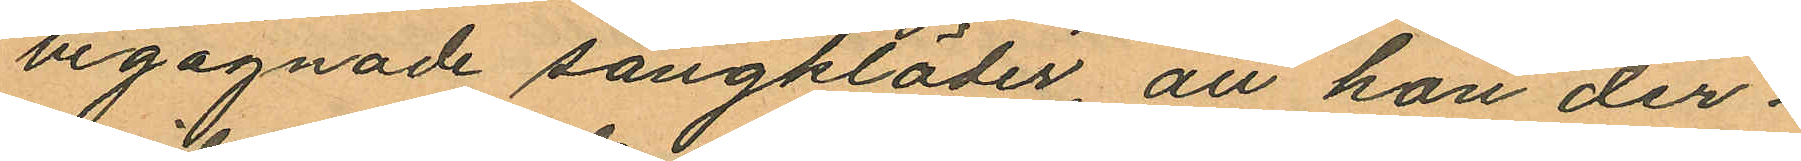begagnade sängkläder, att hon der¬
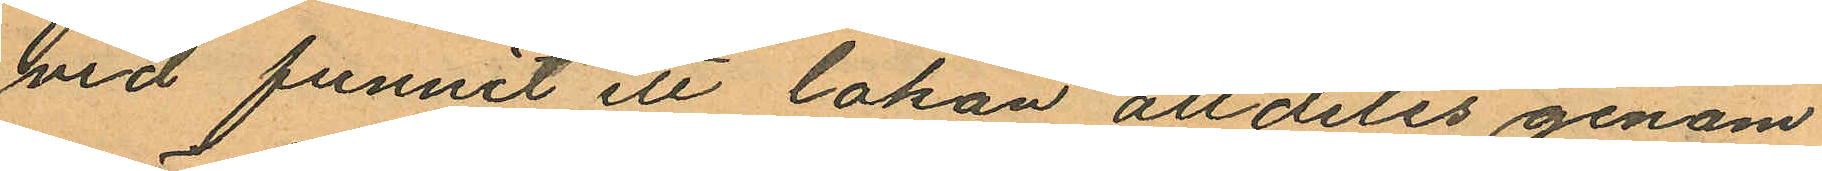vid funnit ett lakan alldeles genom
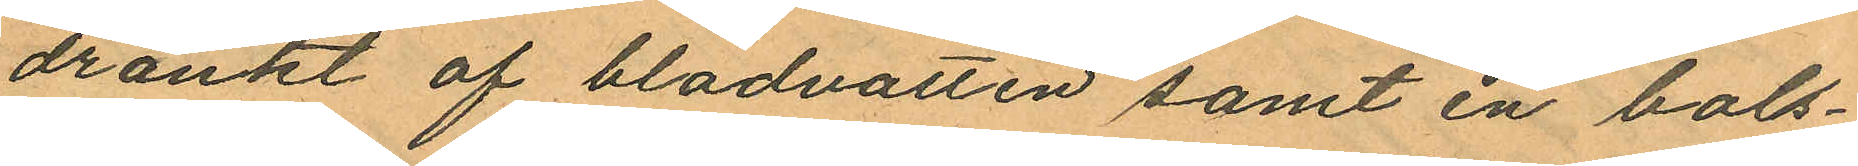dränkt af blodvatten samt en bols¬
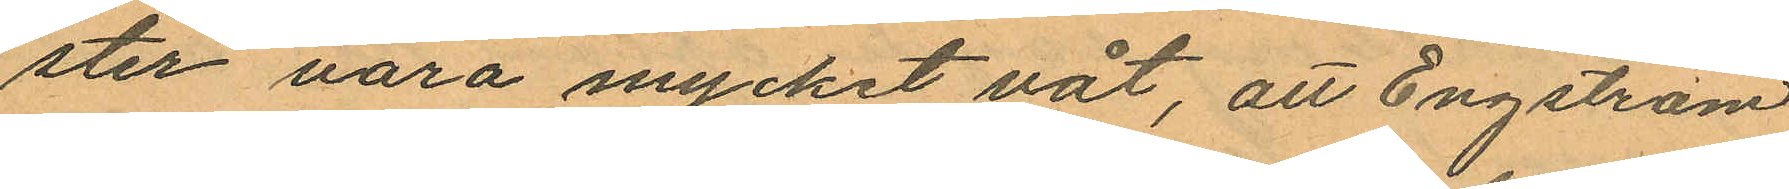ster vara mycket våt, att Engström
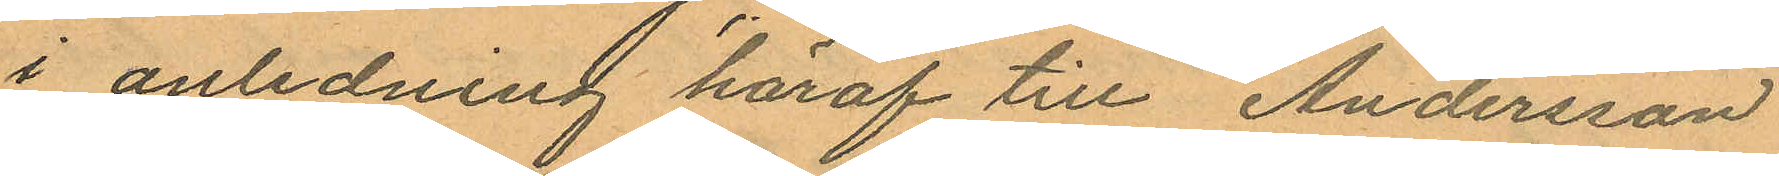i anledning häraf till Andersson
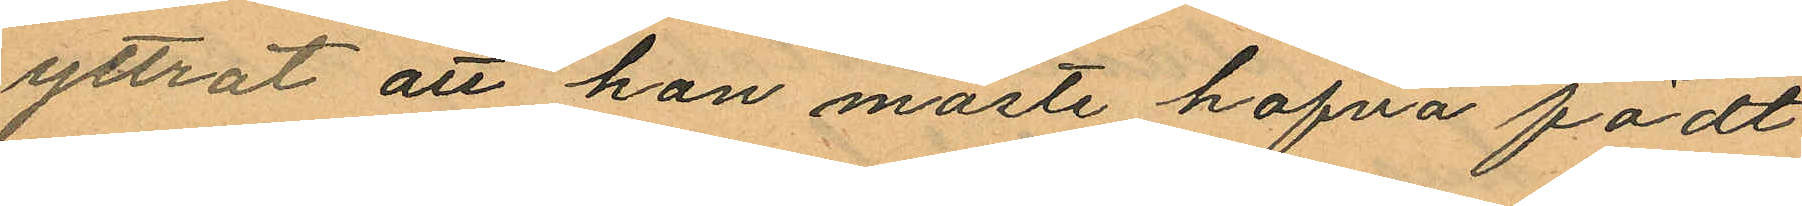yttrat att hon måste hafva födt
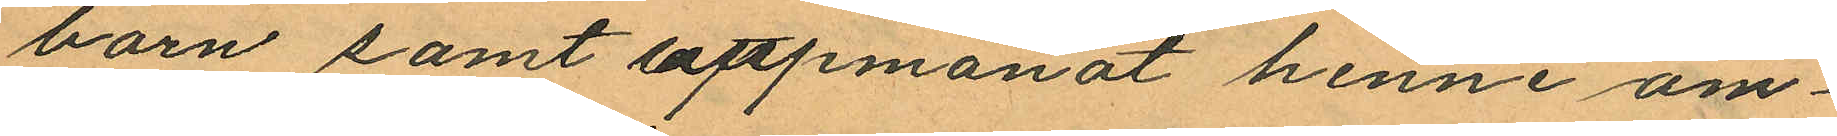barn samt uppmanat henne om¬
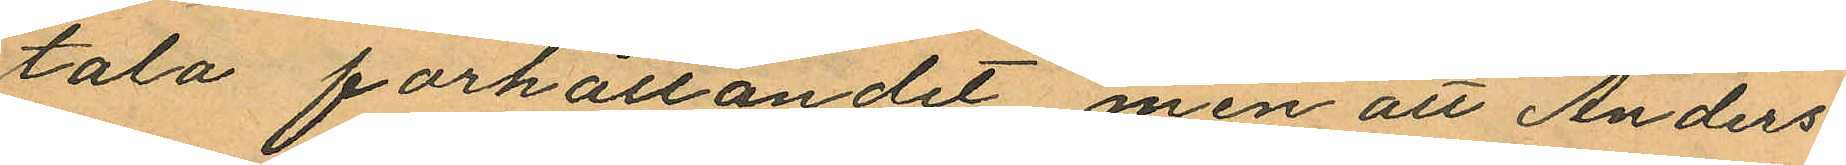tala förhållandet men att Anders¬
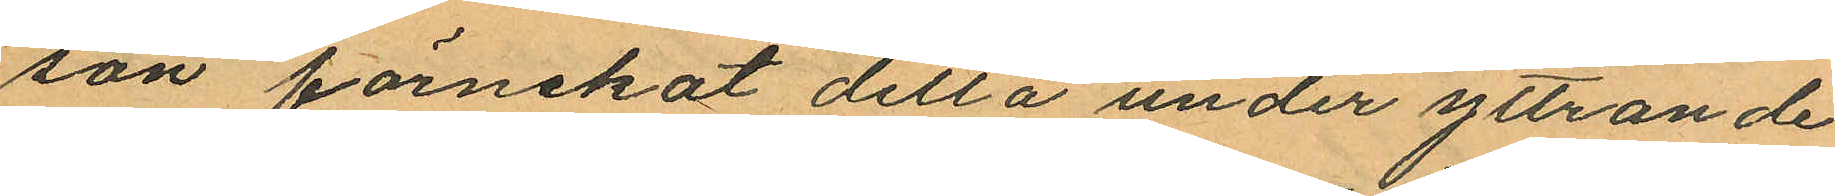son förnekat detta under yttrande
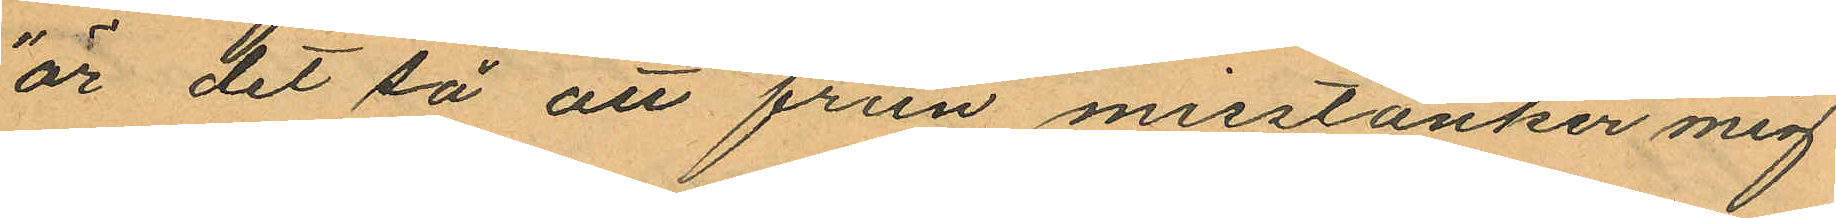"är det så att frun misstänker mig
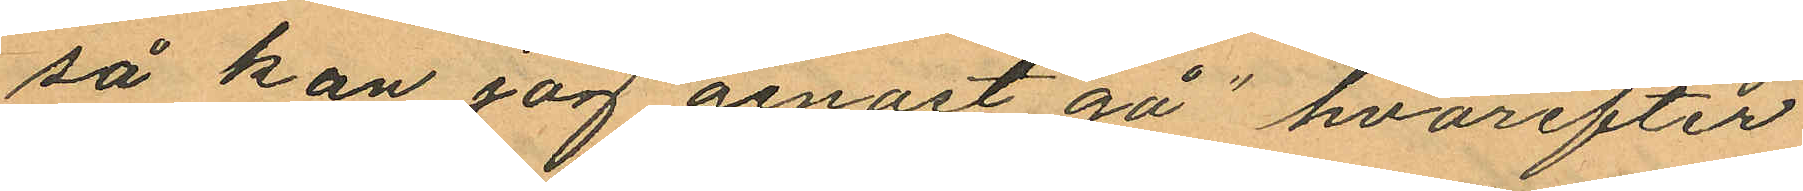så kan jag genast gå" hvarefter
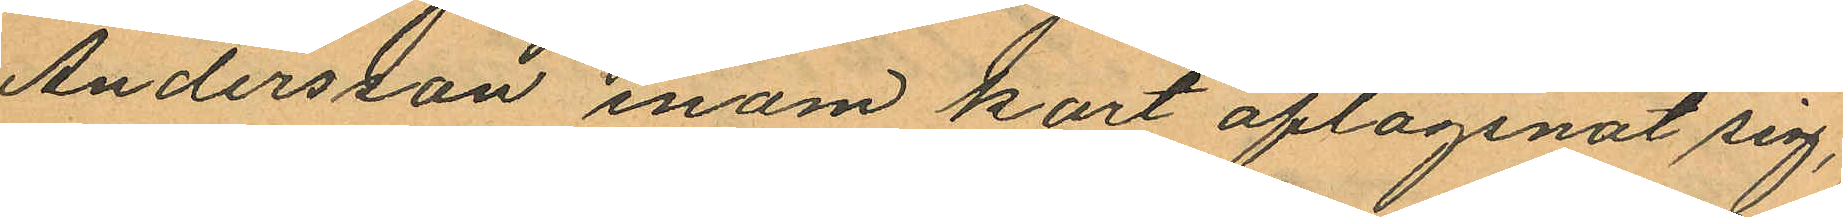Andersson inom kort aflägsnat sig,
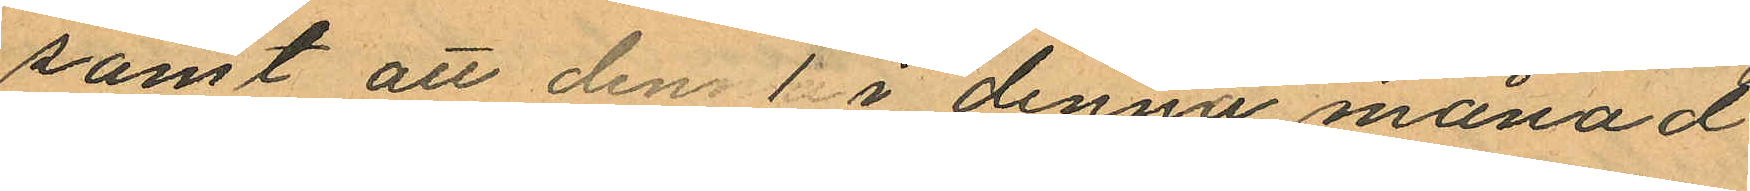samt att den 1 i denna månad
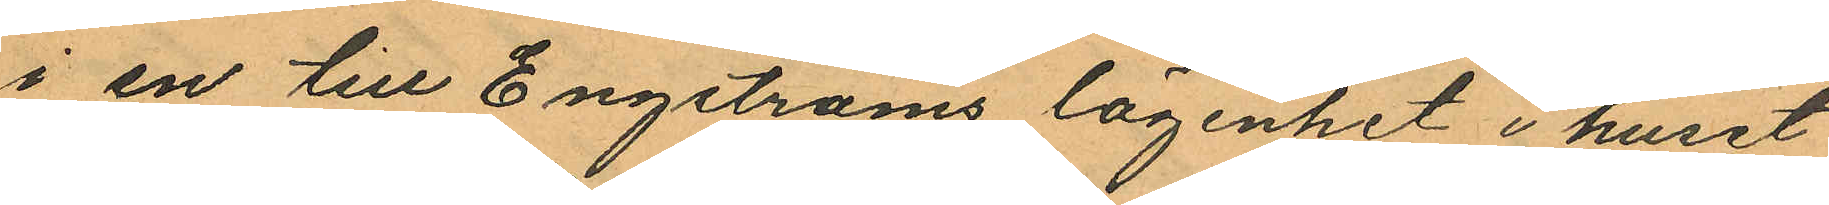i en till Engströms lägenhet i huset
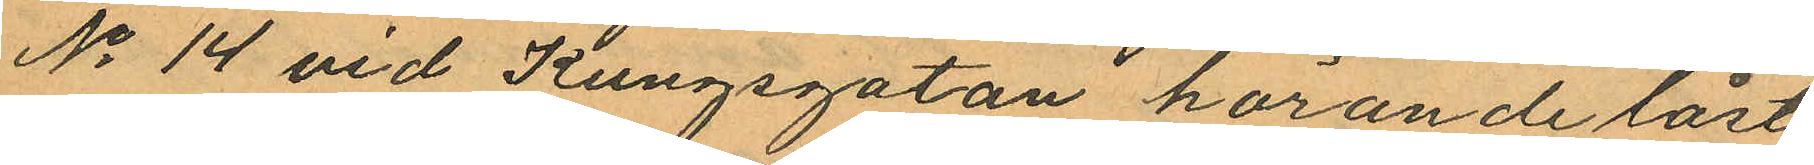No 14 vid Kungsgatan hörande låst
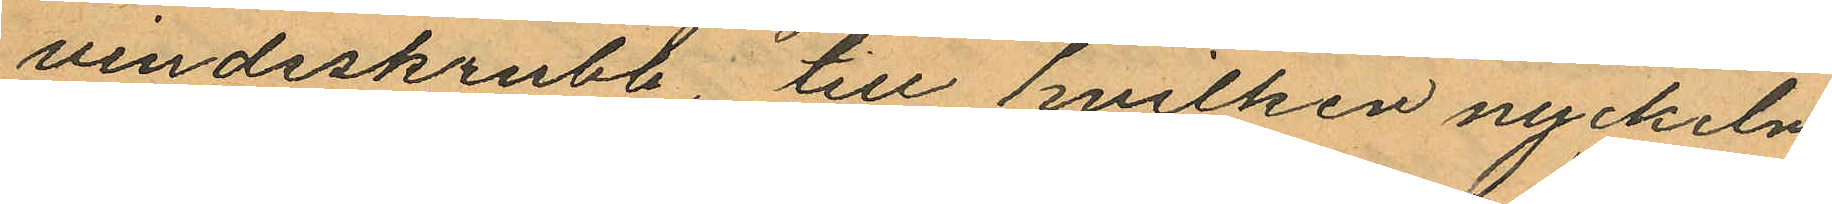vindsskrubb, till hvilken nyckeln
